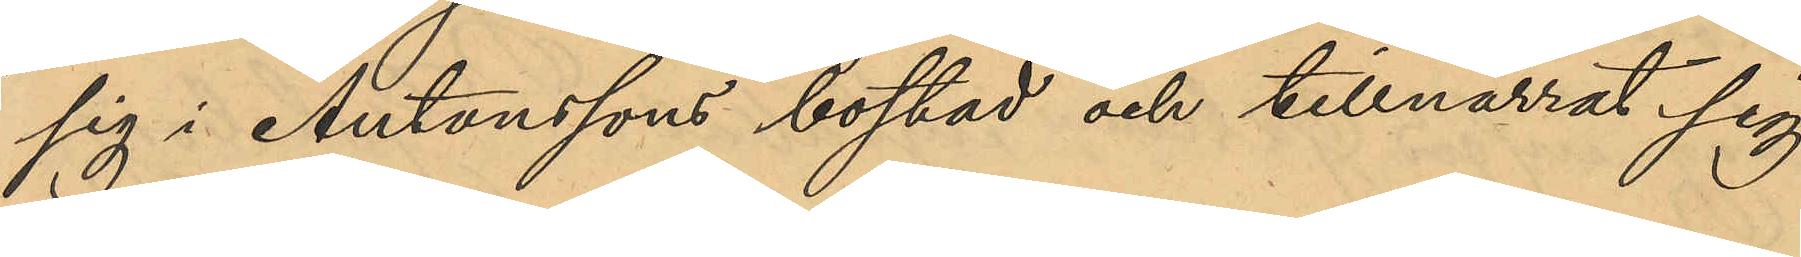sig i Antonssons bostad och tillnarrat sig
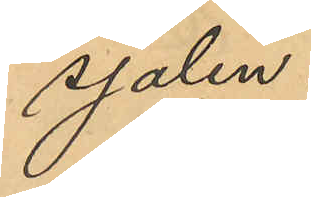sjalen.
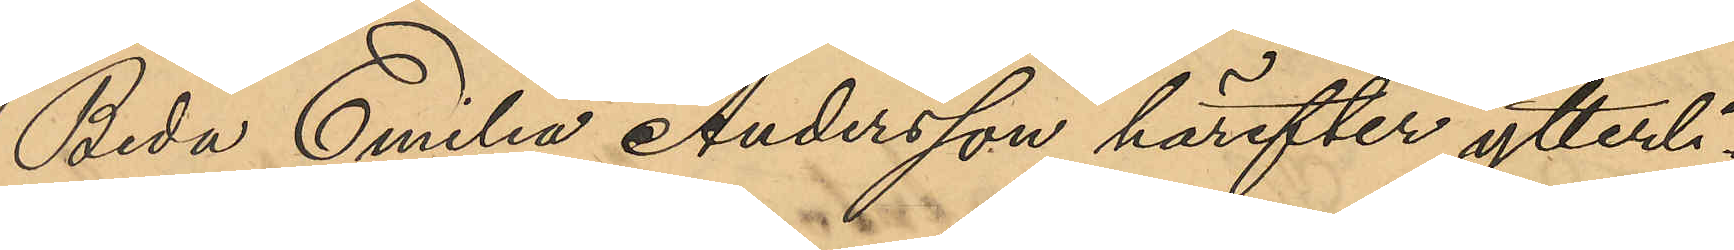Beda Emilia Andersson härefter ytterli¬
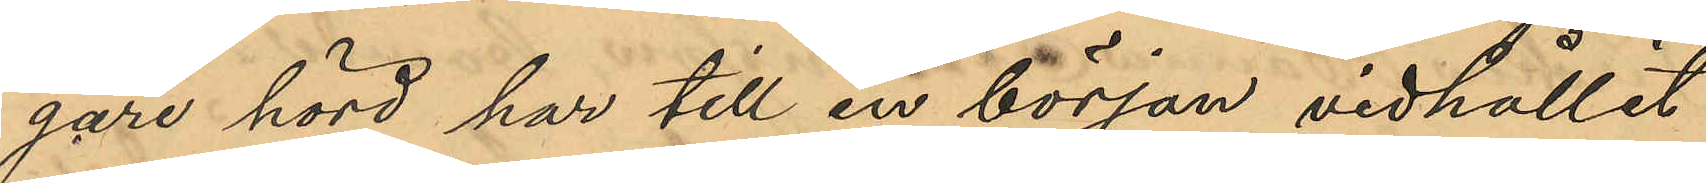gare hörd har till en början vidhållit
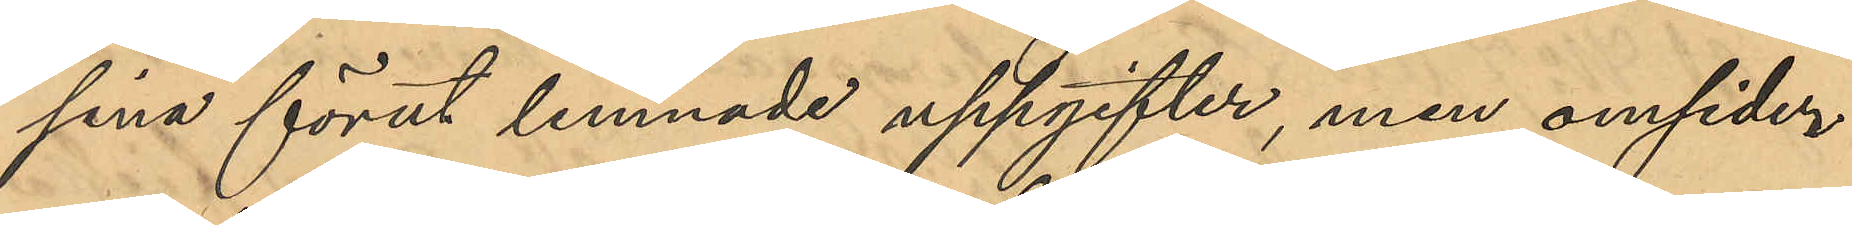sina förut lemnade uppgifter, men omsider
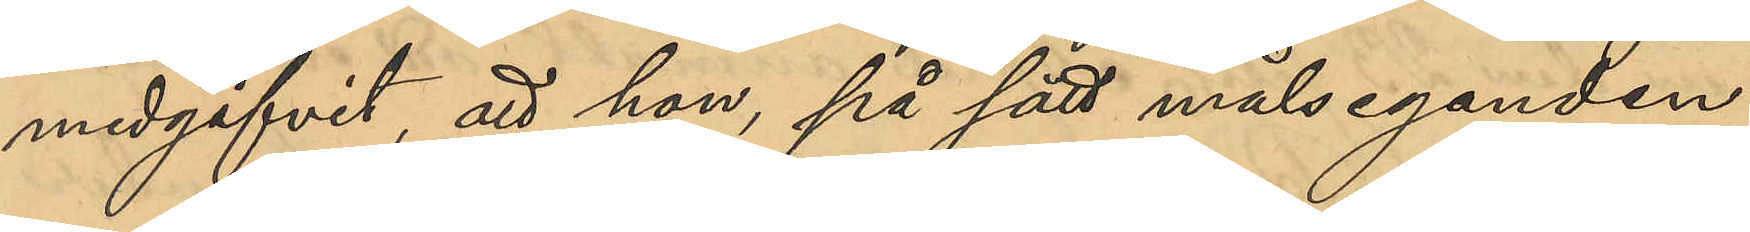medgifvit, att hon på sätt måleganden
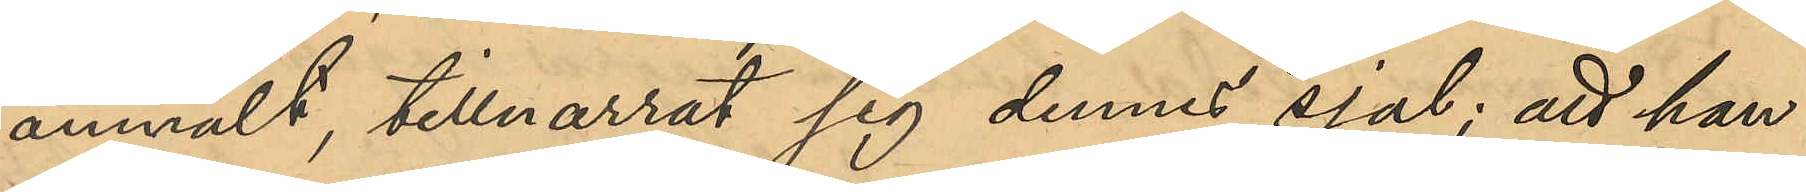anmält, tillnarrat sig denna sjal; att hon
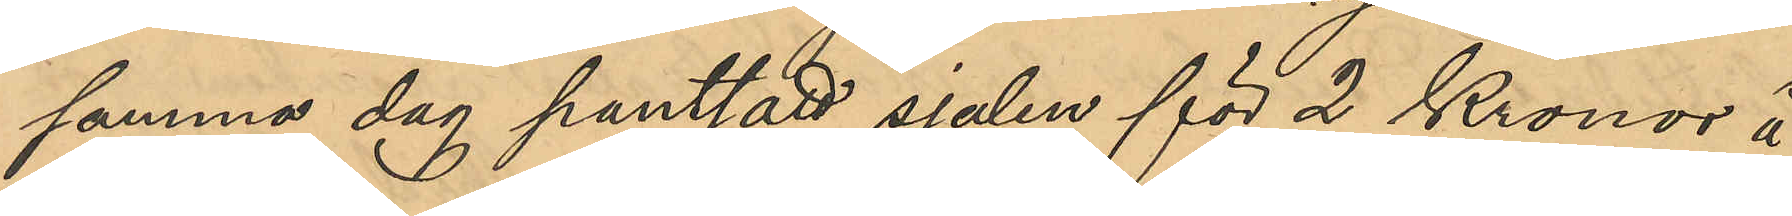samma dag pantsatt sjalen för 2 Kronor å
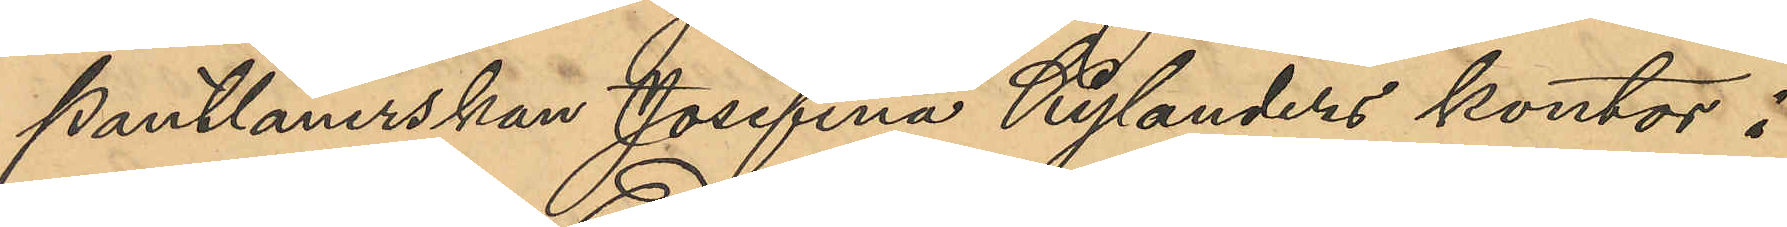Pantlånerskan Josefina Kylanders kontor i
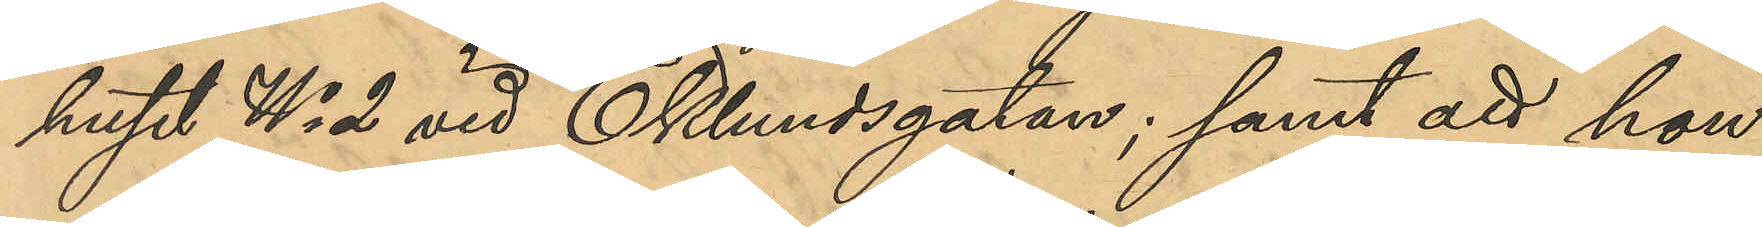huset No 2 vid Ekelundsgatan; samt att hon
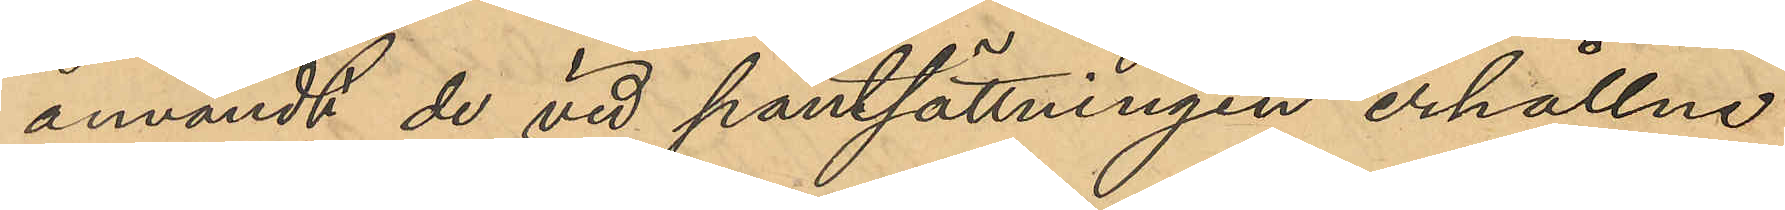användt de vid pantsättningen erhållne
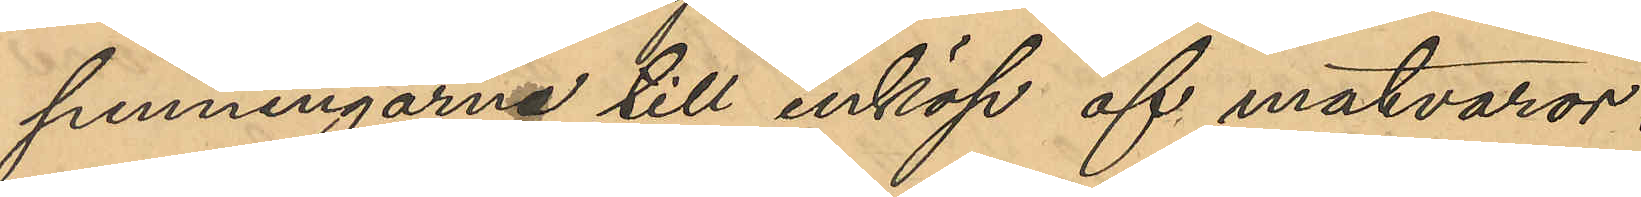penningarne till inköp af matvaror.
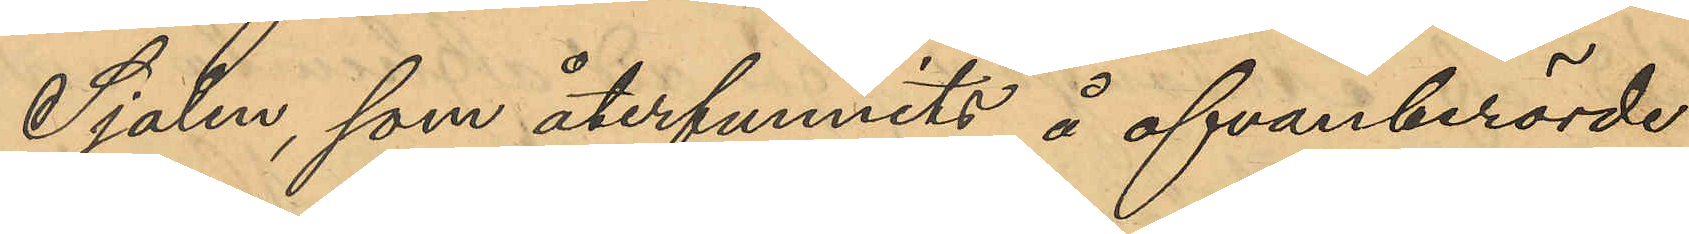Sjalen, som återfunnits å ofvanberörde
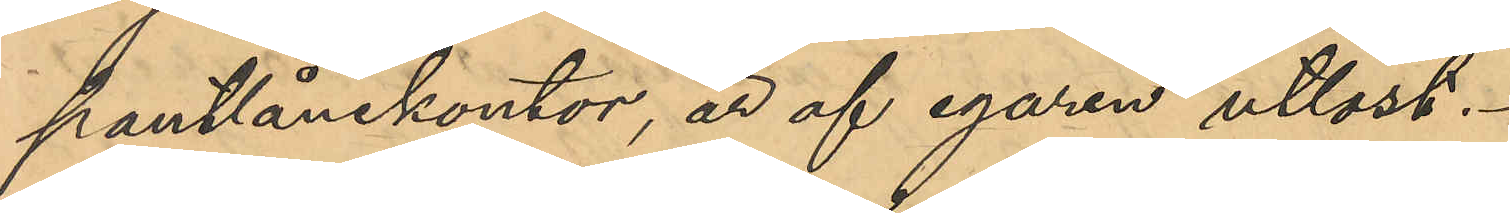pantlånekontor, är af egaren utlöst.
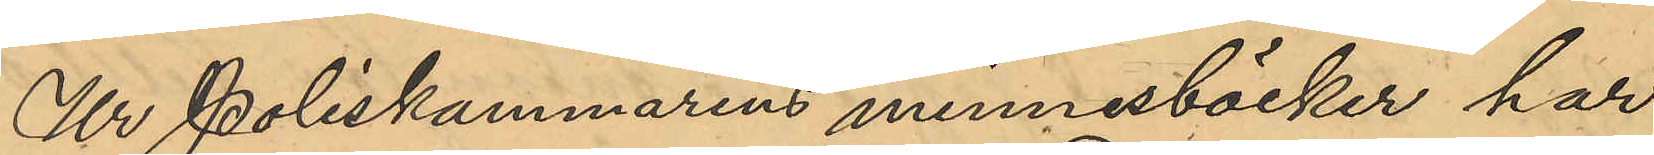Ur Poliskammarens minnesböcker har
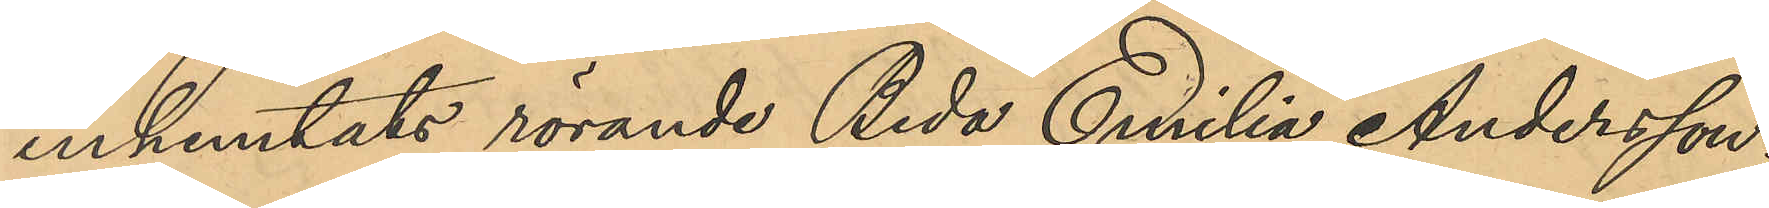inhemtats rörande Beda Emilia Andersson;
